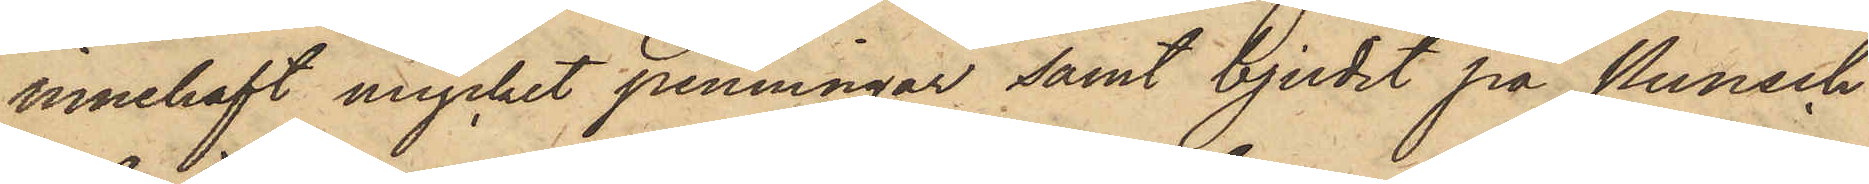innehaft mycket penningar samt bjudit på Punsch
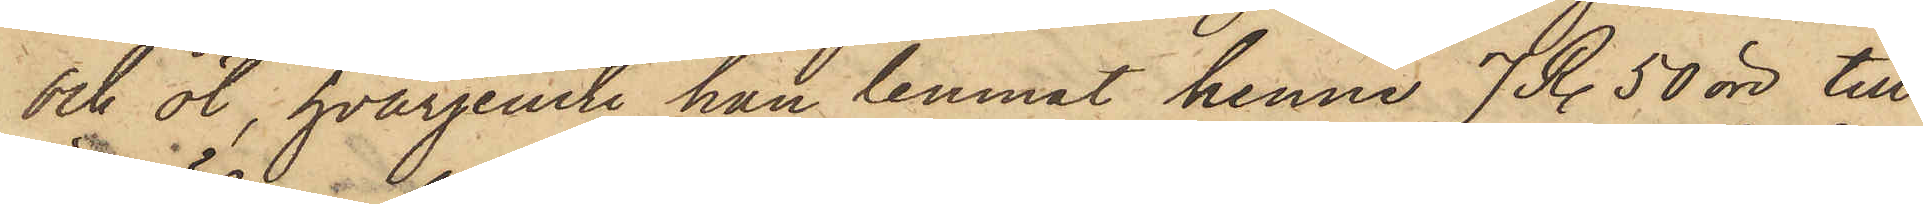och öl, hvarjemte han lemnat henne 7 R. 50 öre till
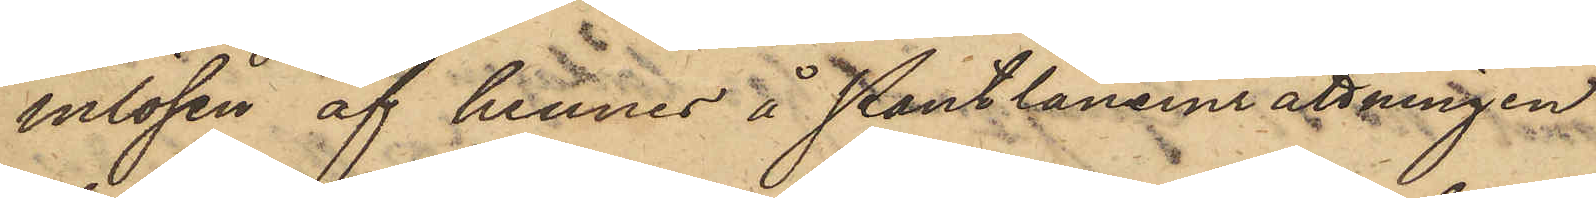inlösen af hennes å Pantlåneinrättningen
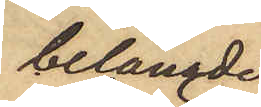belånade
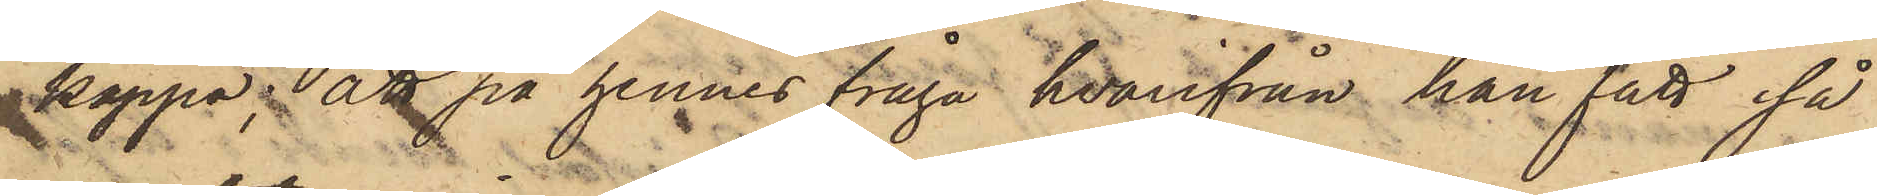kappa; att på hennes fråga hvarifrån han fått så
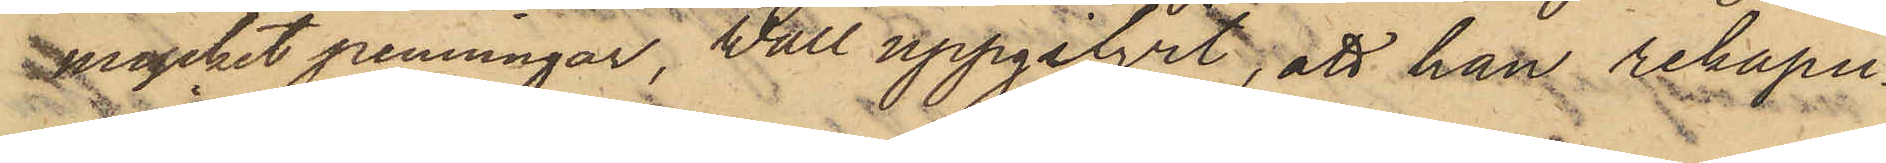mycket penningar, Wall uppgifvit, att han rekapu¬
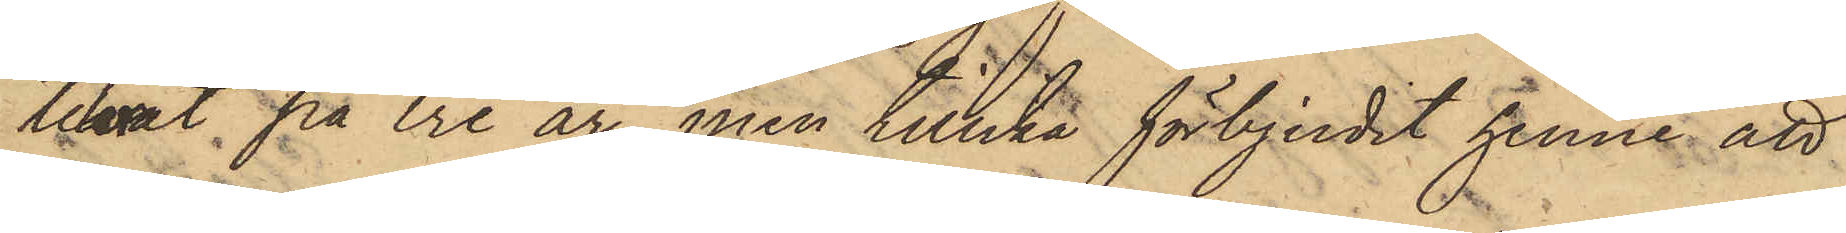tulerat på tre år, men tillika förbjudit henne att
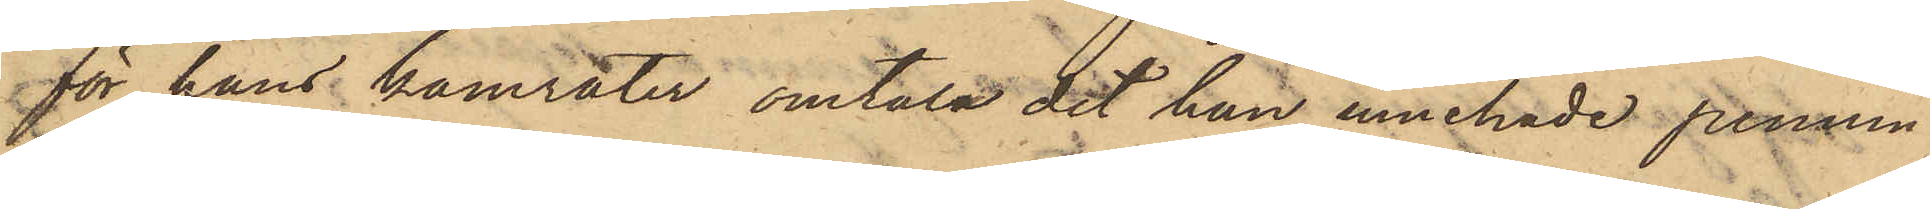för hans kamrater omtala det han innehade pennin¬
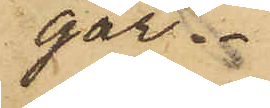gar.
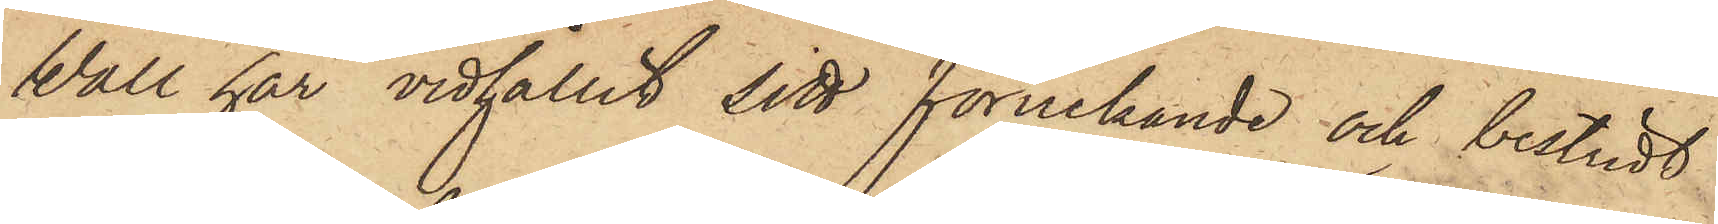Wall har vidhållit sitt förnekande och bestridt
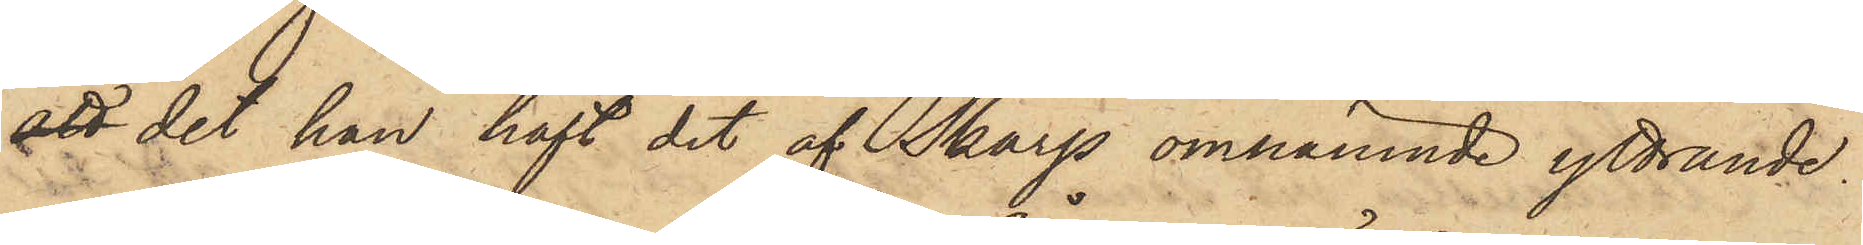att det han haft det af Skarp omnämnde yttrande.
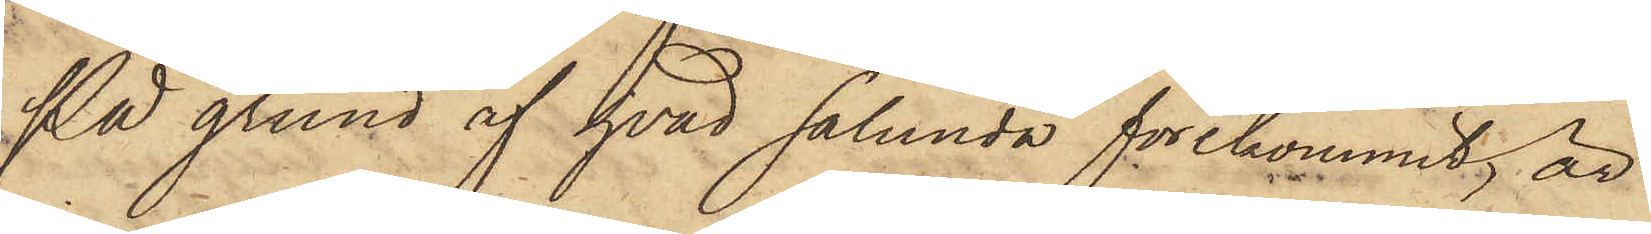På grund af hvad sålunda förekommit, är
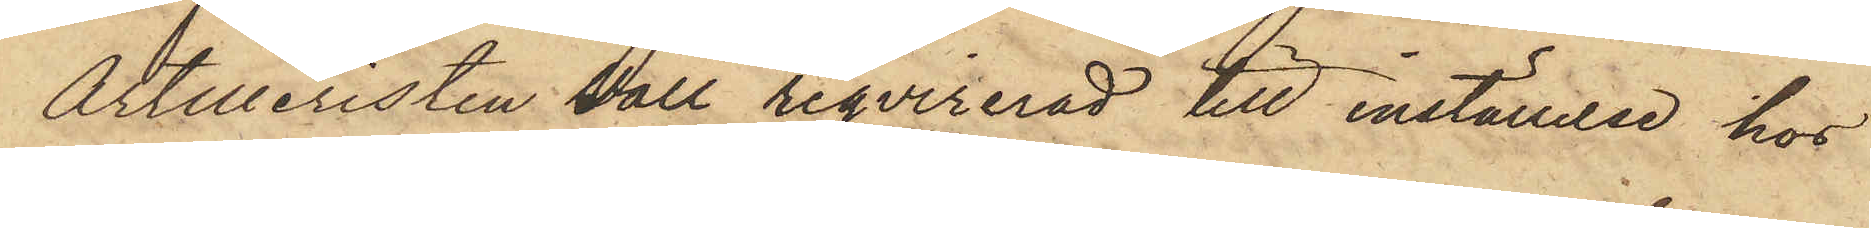Artilleristen Vall reqvirerad till inställelse hos
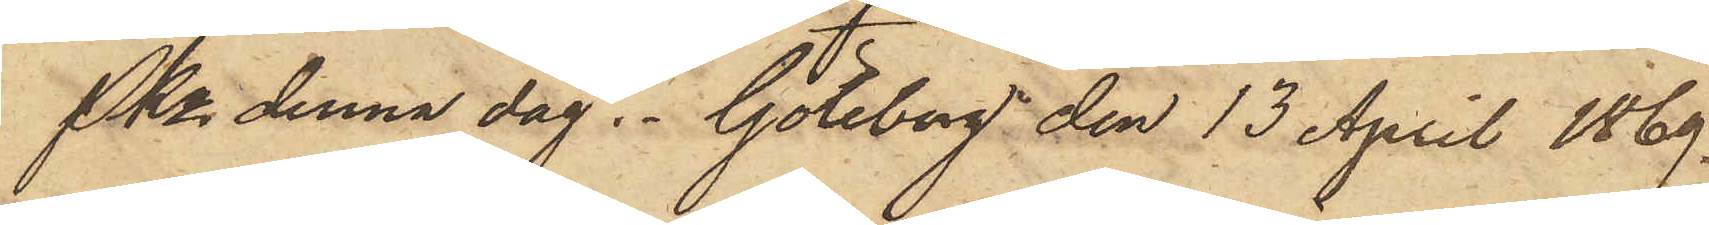Pkn denna dag. Göteborg den 13 April 1869.
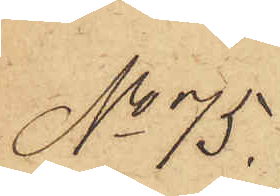No 75.
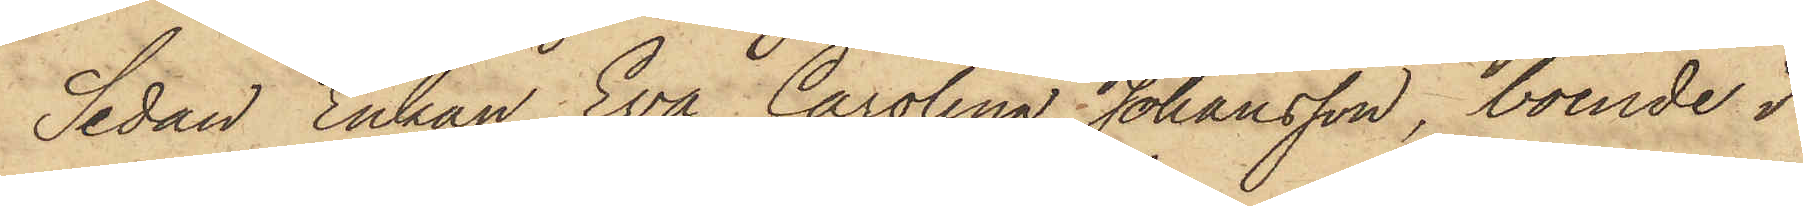Sedan Enkan Eva Carolina Johansson, boende i
